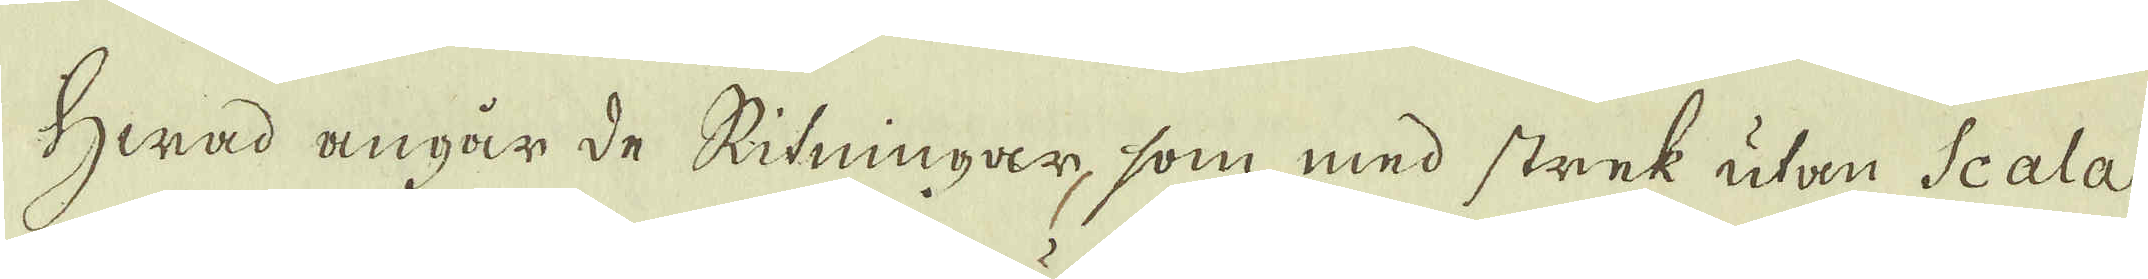Hwad angår de Ritningar, som med strek utan Scala
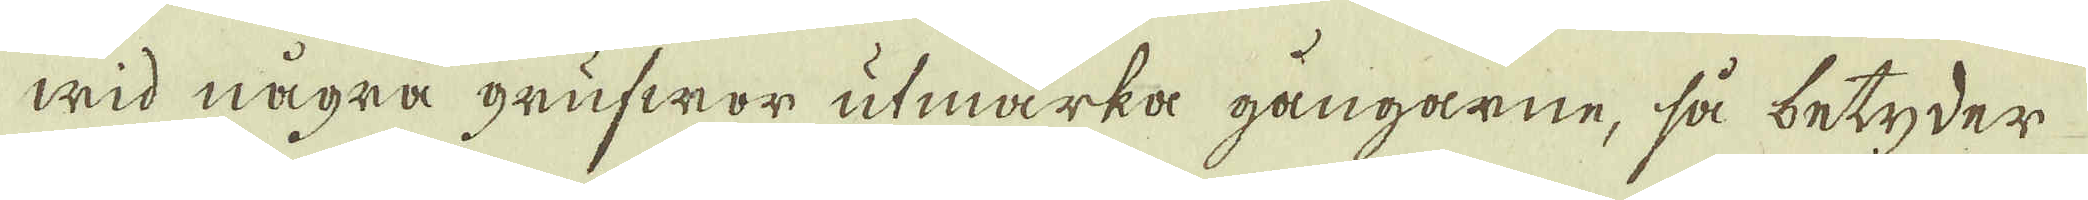wid några grufwor utmärka gångarne, så betyder
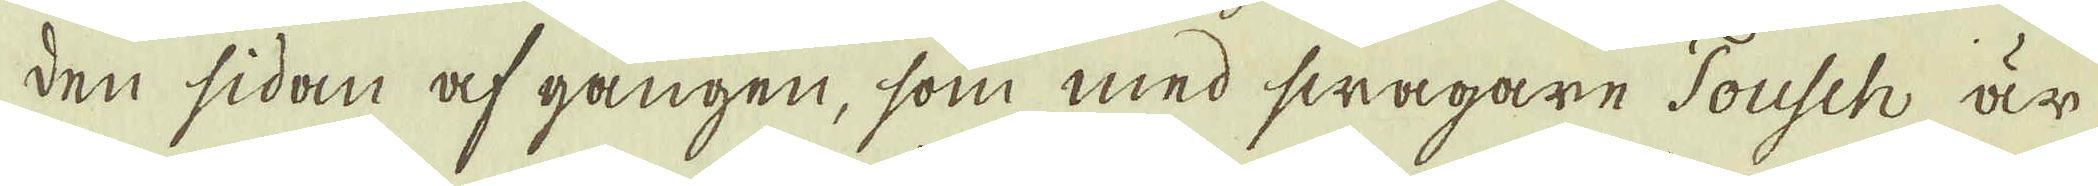den sidan af gången, som med swagare Tousch är
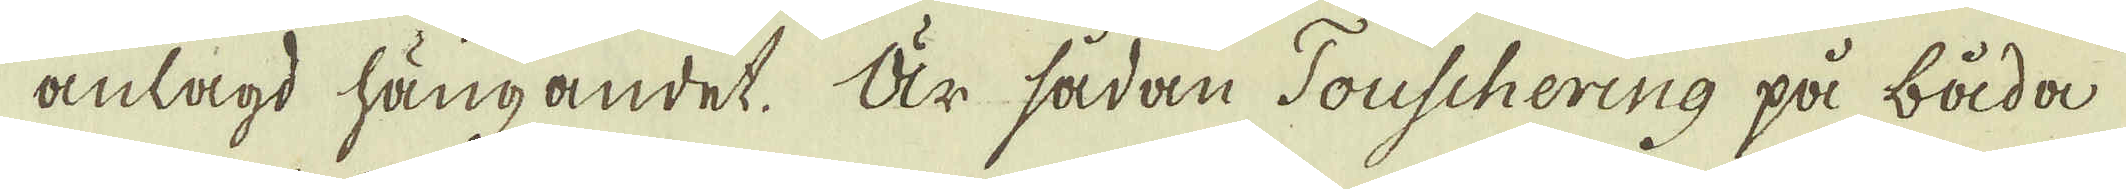anlagd hängandet. Är sådan Touschering på båda
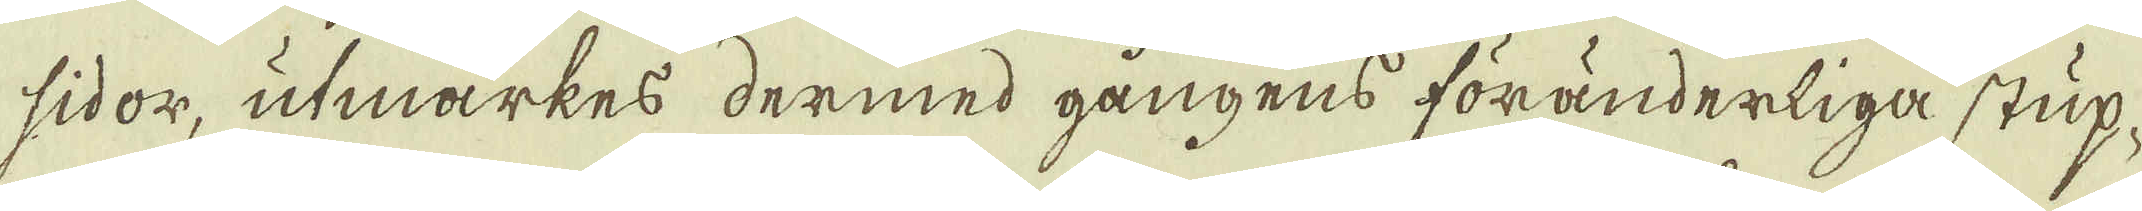sidor, utmärkes dermed gångens föränderliga stup-
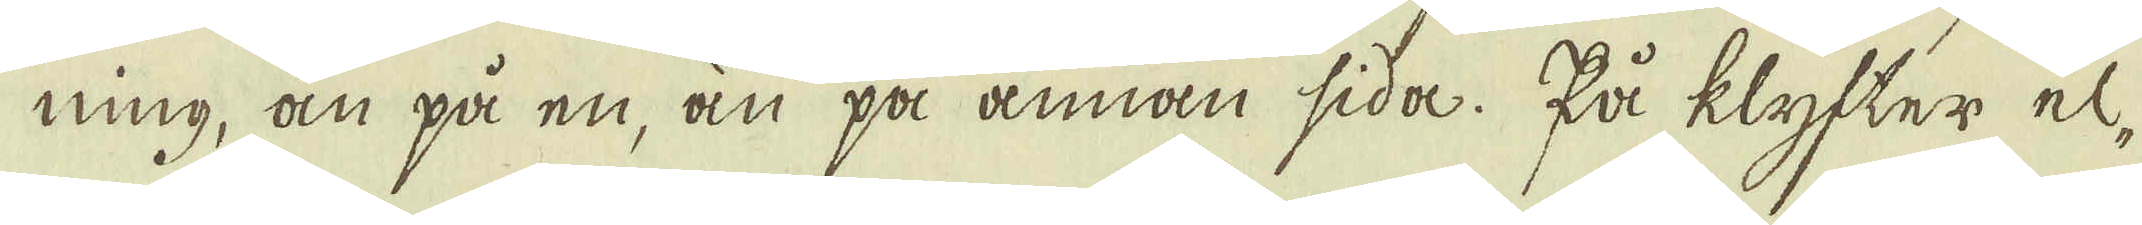ning, än på en, än på annan sida. På klyfter el-
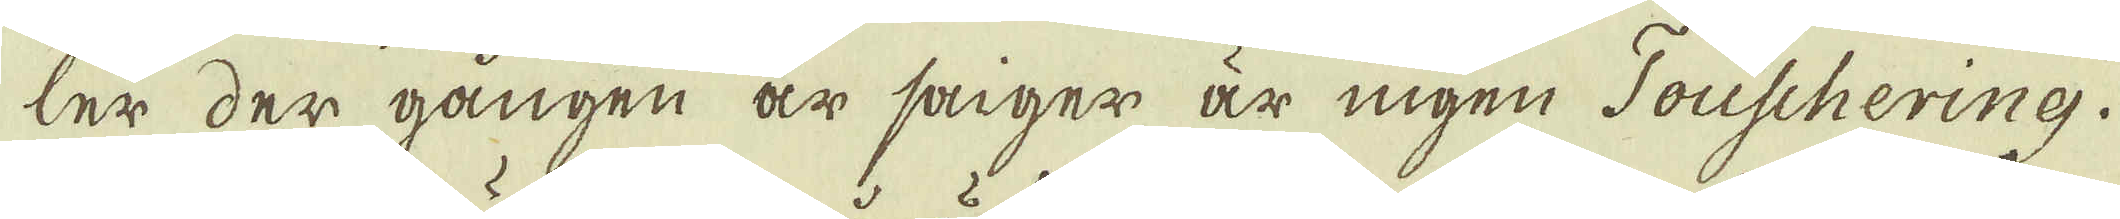ler der gången är saiger är ingen Touschering.
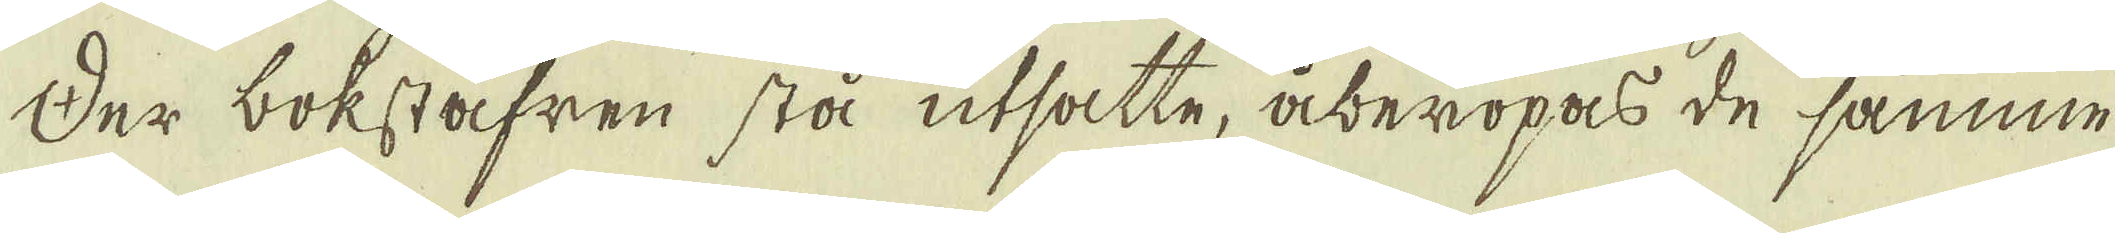Der bokstäfren stå utsatte, åberopas de samme
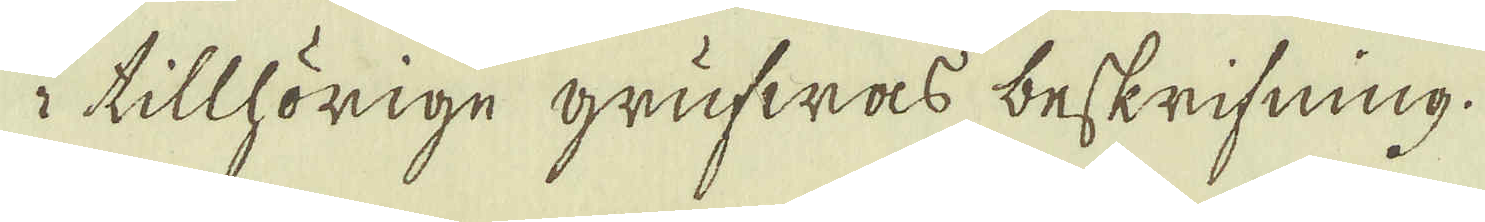i tillhörige grufwas beskrifning.
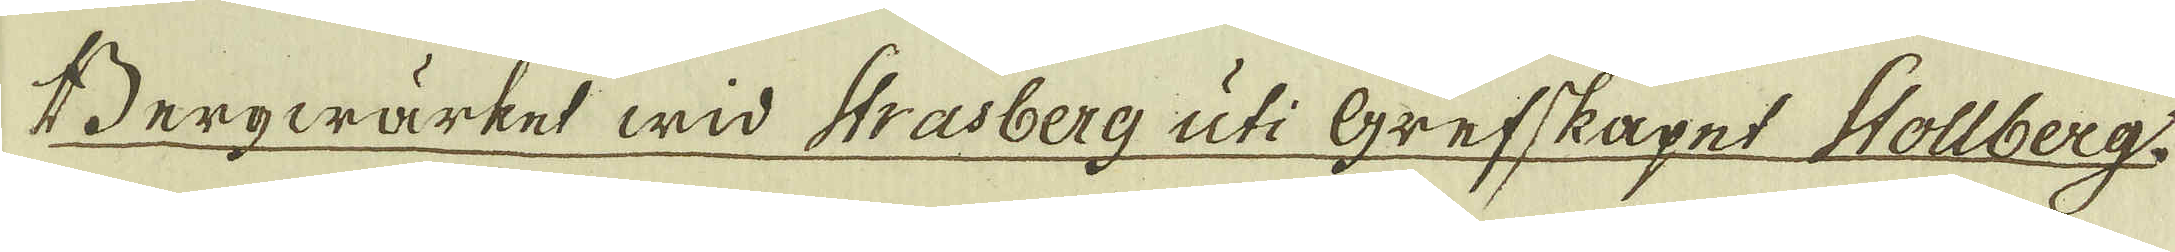Bergwärket wid Strasberg uti Grefskapet Hollberg.
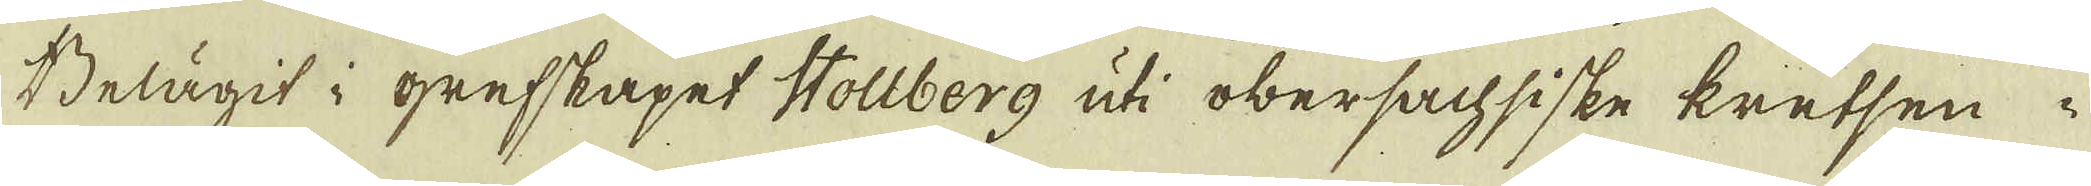Belägit i grefskapet Stollberg uti obersachsiske kretsen i
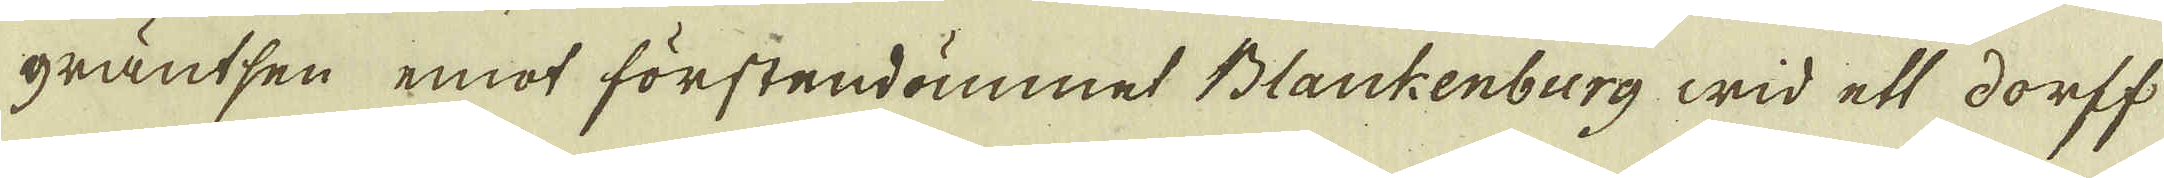gräntsen emot förstendömmet Blankenburg wid ett dorff
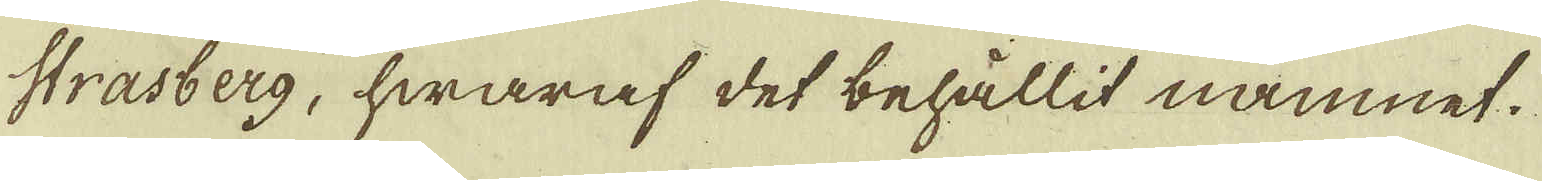Strasberg, hwaraf det behållit namnet.
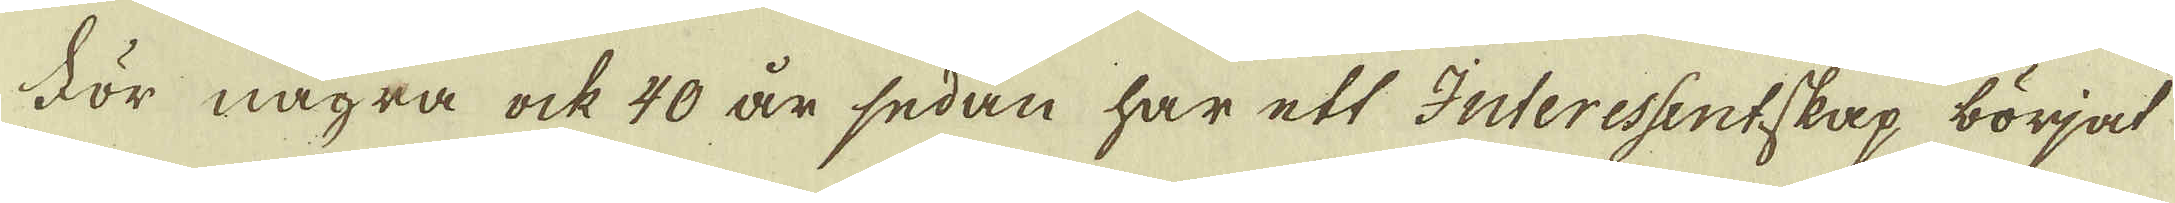För några ock 40 år sedan har ett Interessentskap börjat
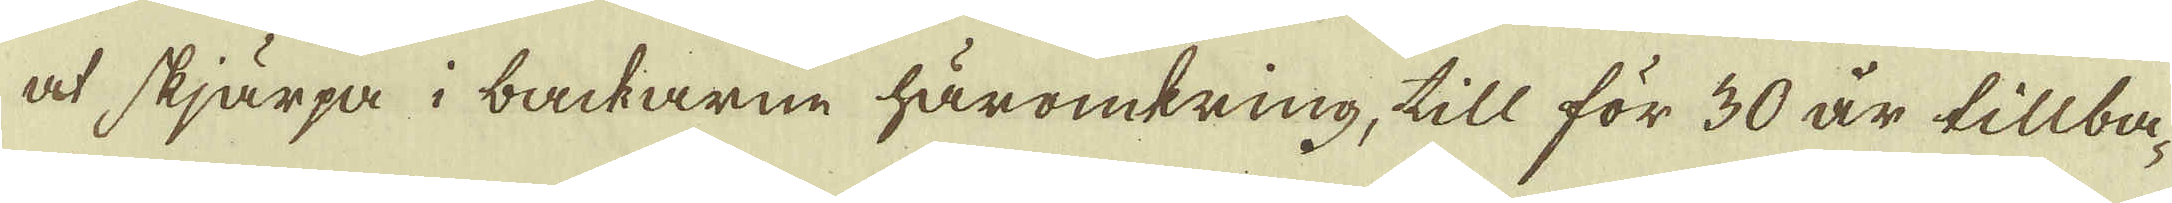at skjärpa i backarne häromkring, till för 30 år tillba-
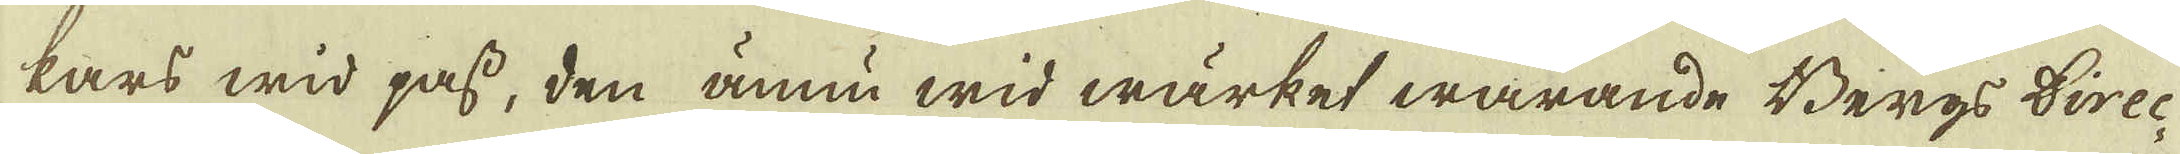kars wid pass, den ännu wid wärket warande Bergs Direc-
